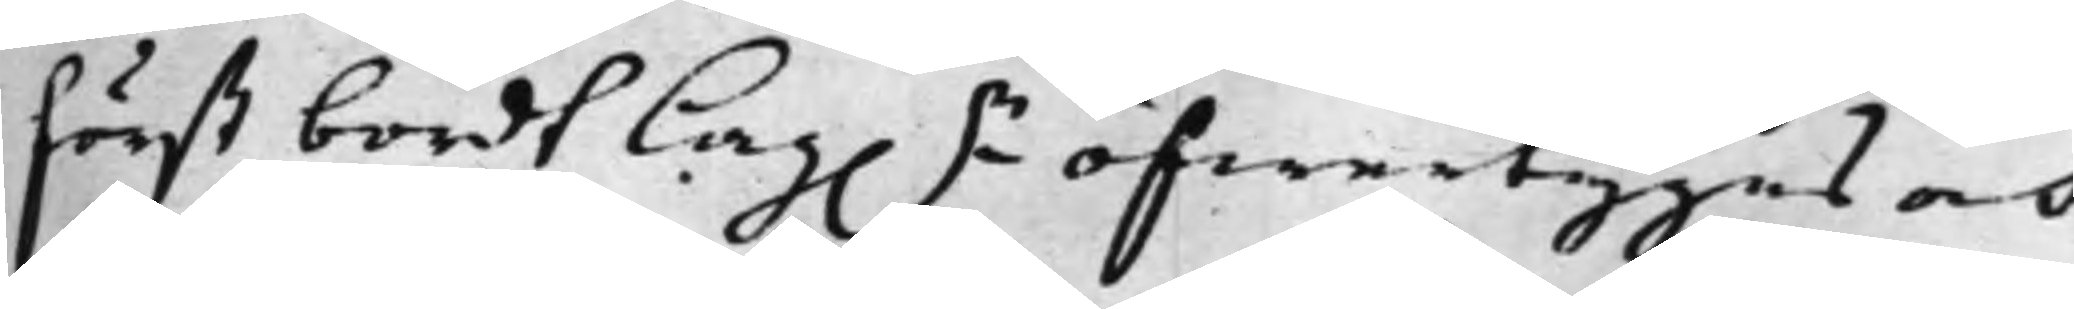först bordt Lag.n öfwertygas och
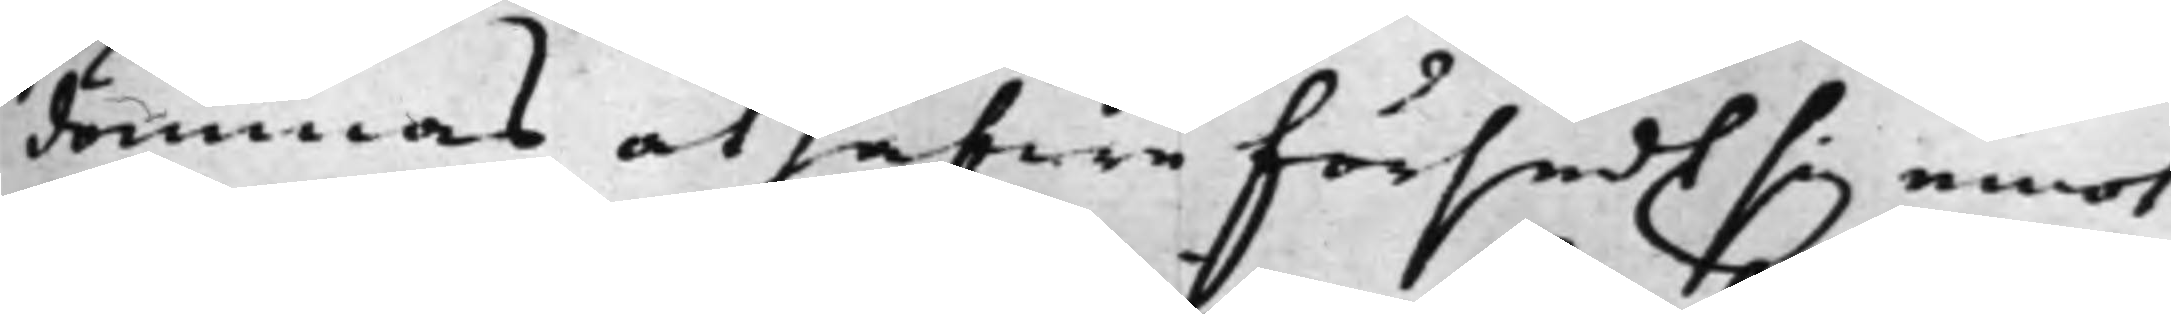dömmas at hafwa försedt sig emot
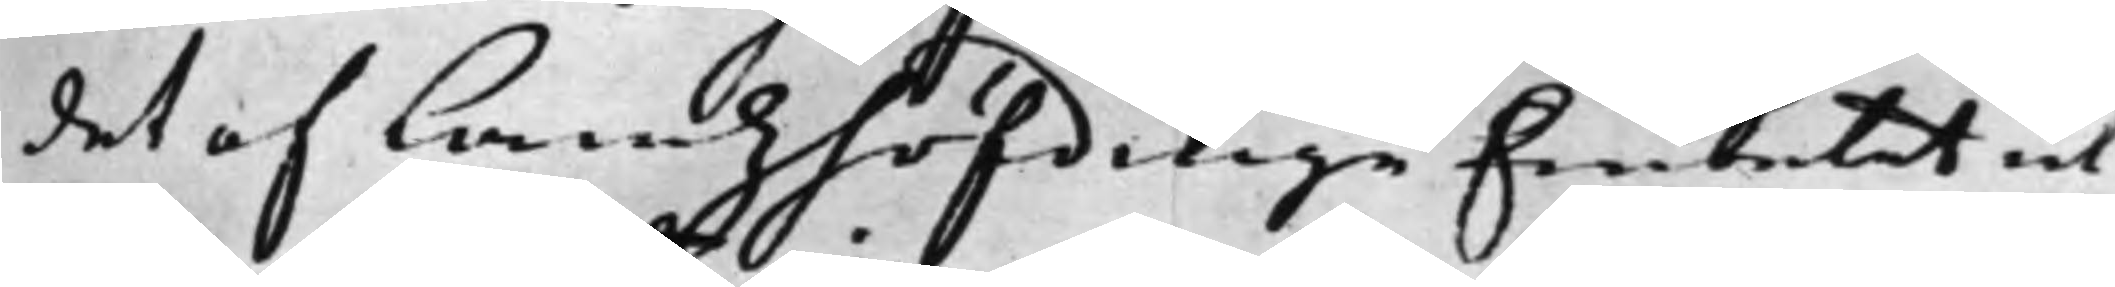det af Landzhöfdinge Embetet ut¬
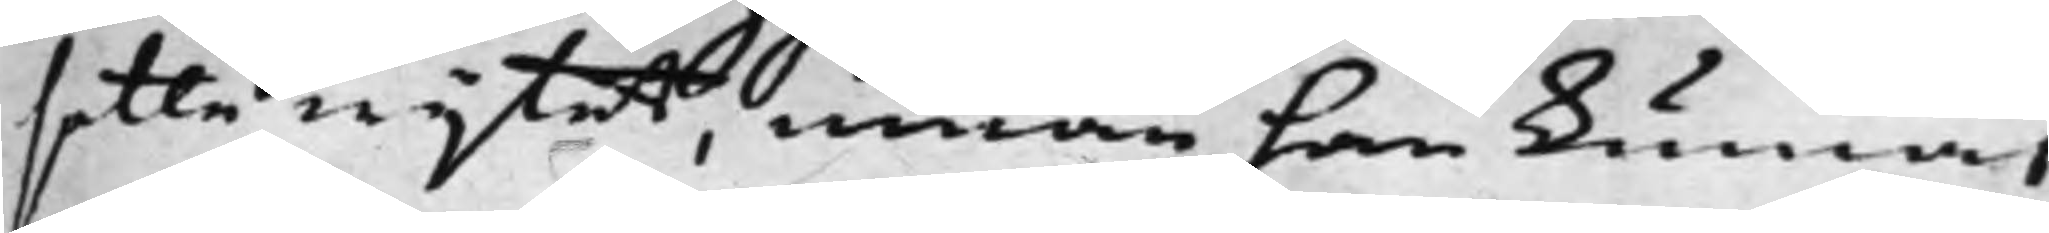satte wijtet, innan han kunnat
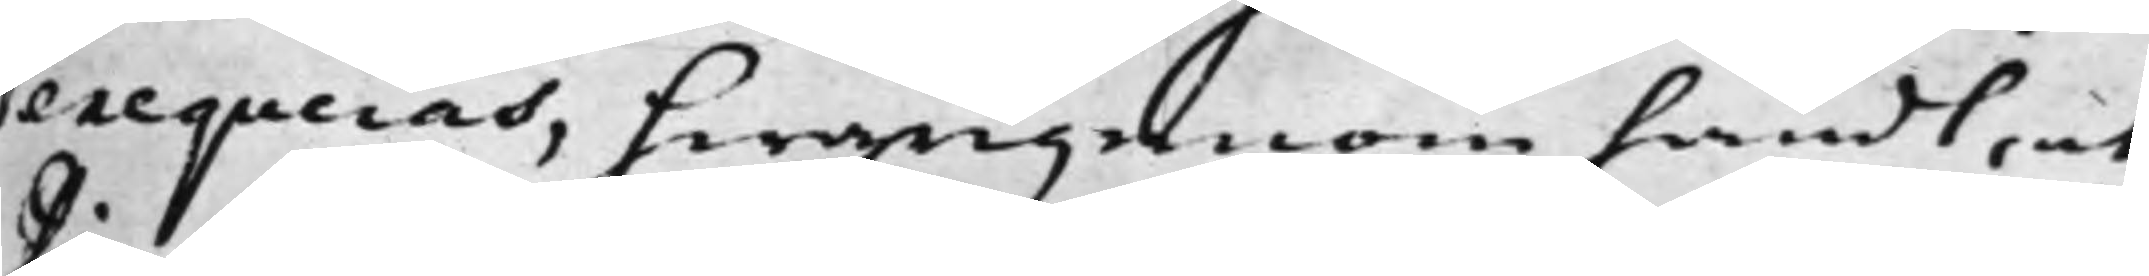exeqveras, hwarigenom händt, at
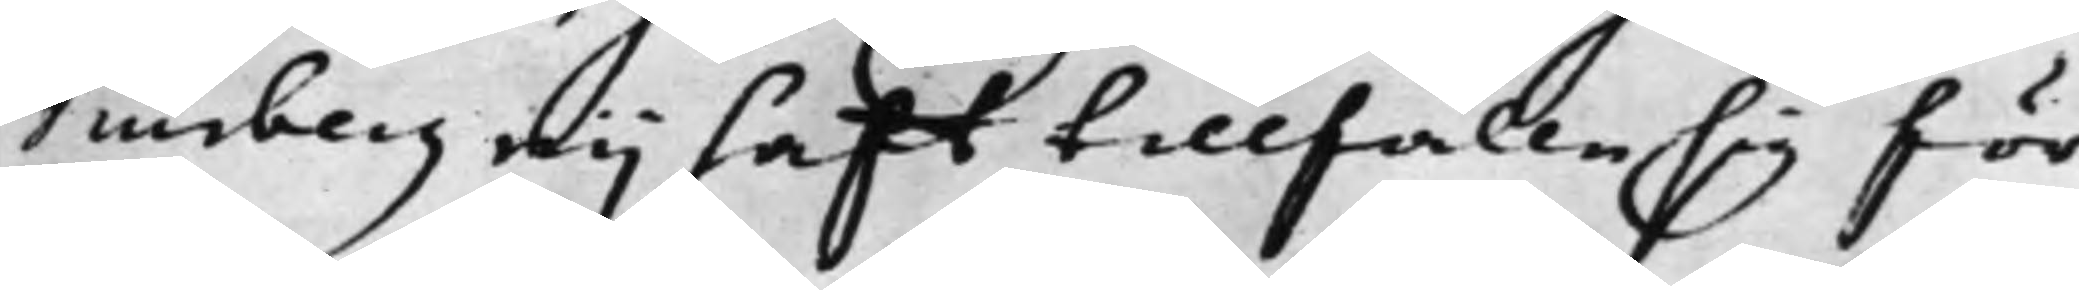Diurberg eij hafft tillfälle sig för¬
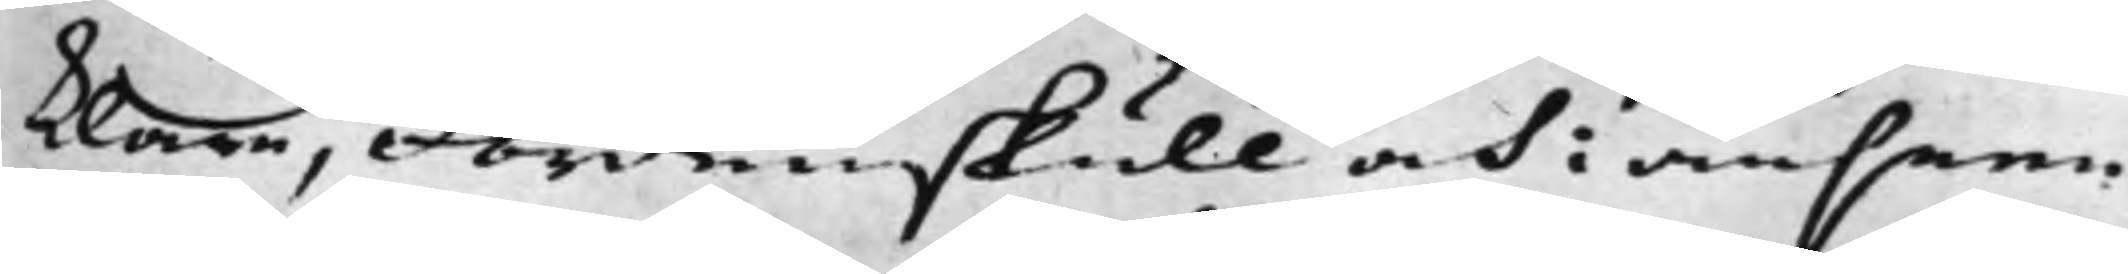klara, Fördenskull och i anseen¬
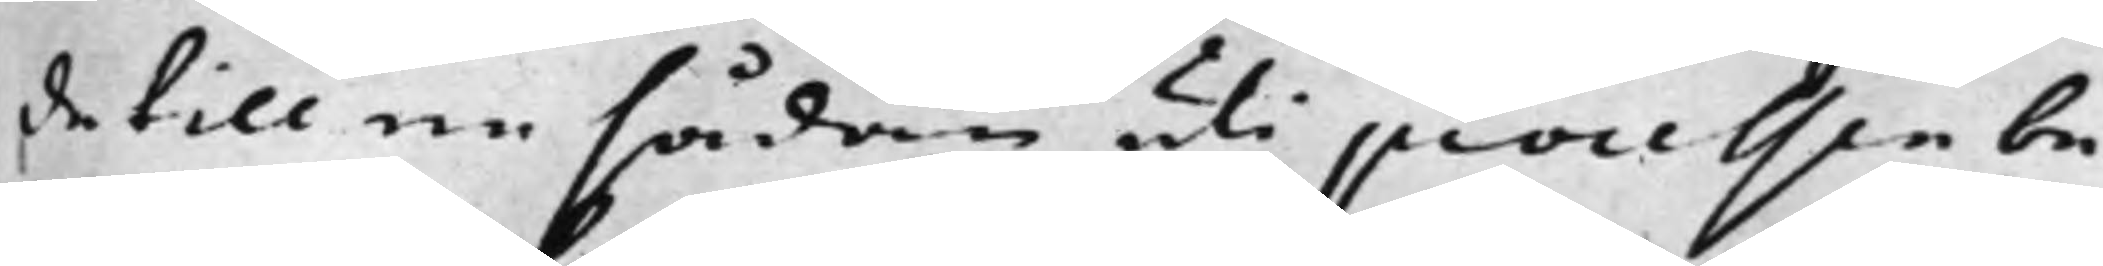de till en sådan uti processen be¬
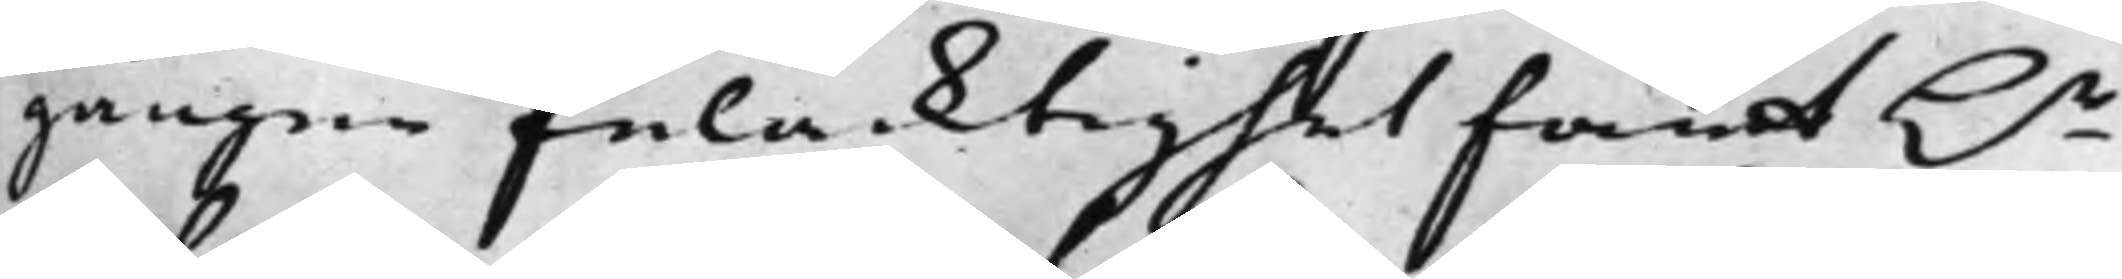gången felacktighet fant h.r
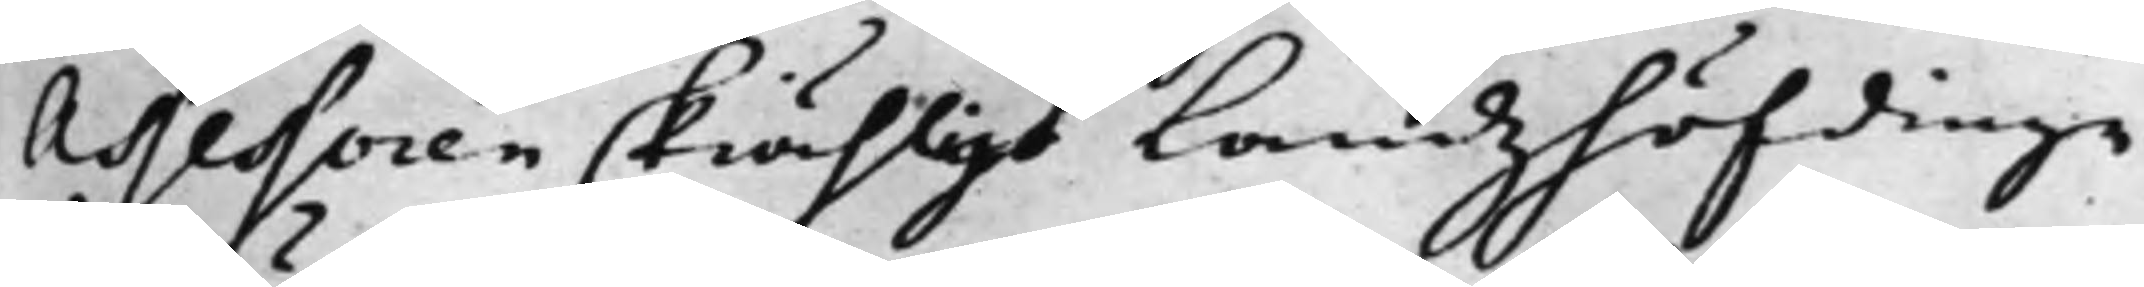Assessoren skiähligt Landzhöfdinge
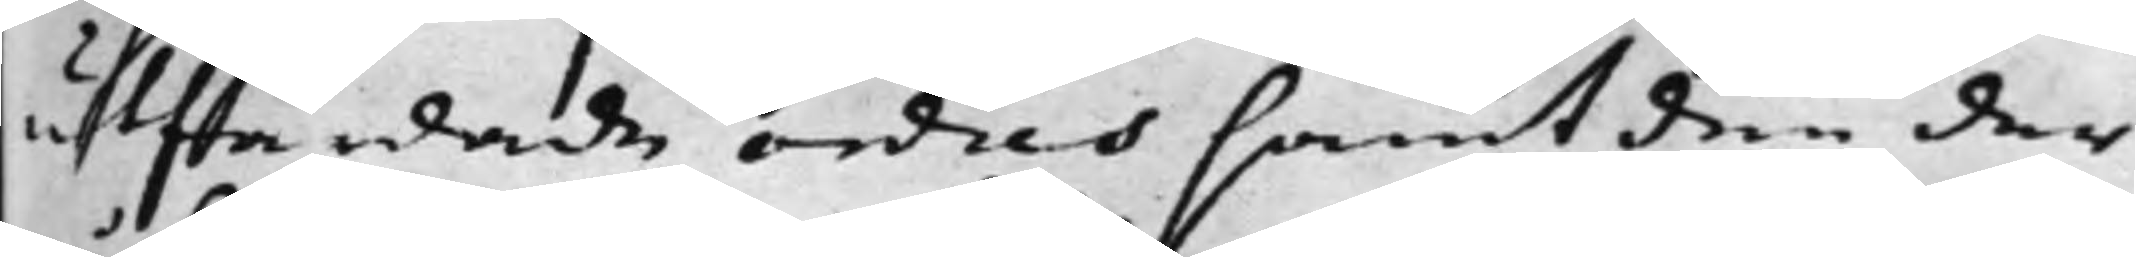utfärdade ordres samt den der
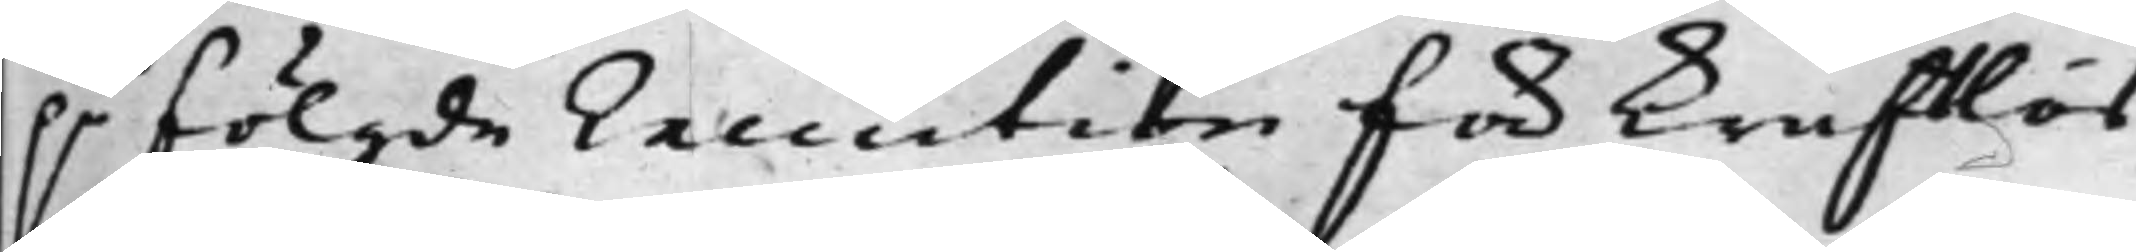på fölgde Execution för kraftös
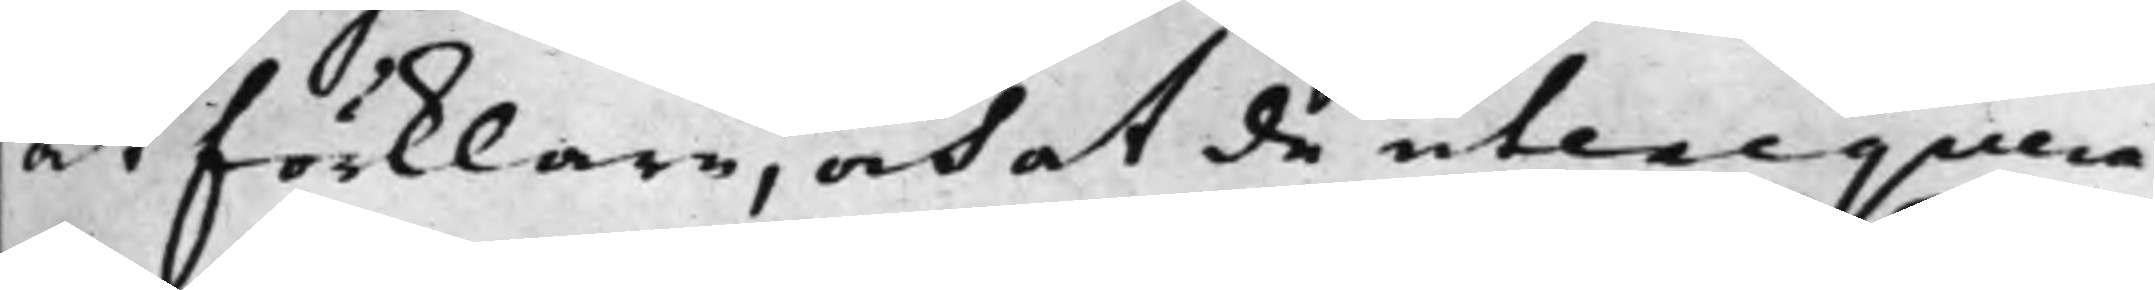at förklara, och at de utexequera¬
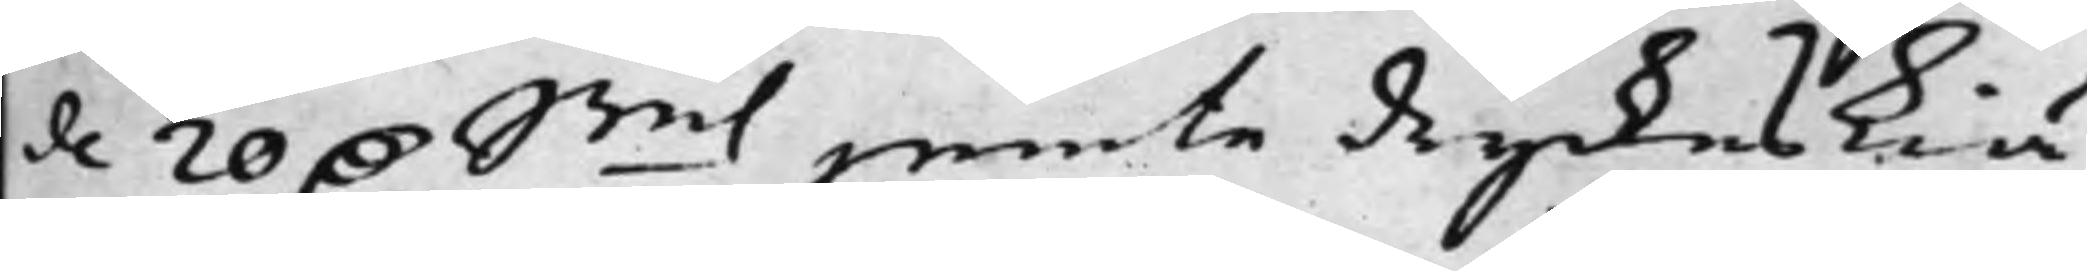de 20 D. Smt jemte dryckeskiä¬
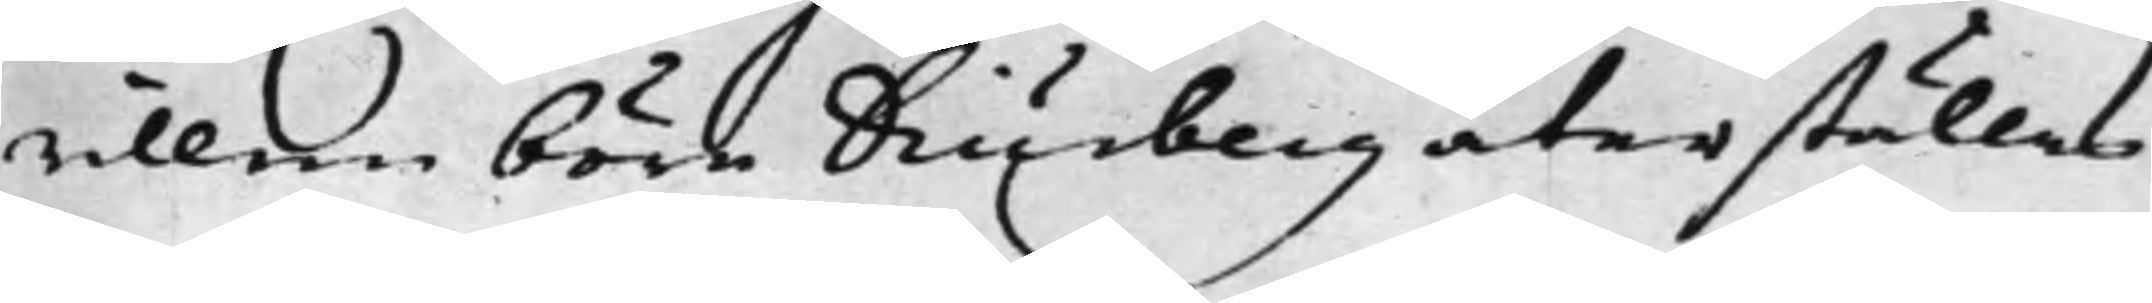rillen böra Diurberg återställas.
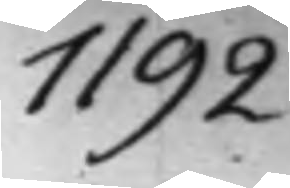1192.
